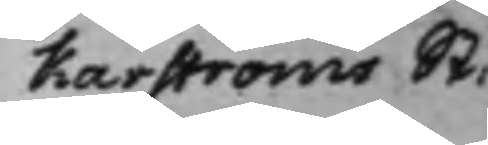karströms St:
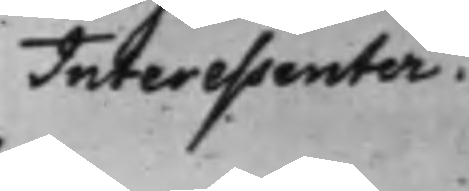Interessenter.
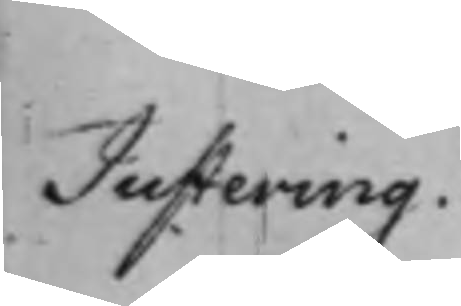Justering.
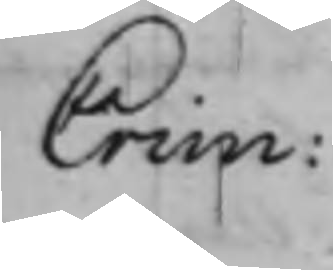Crim:
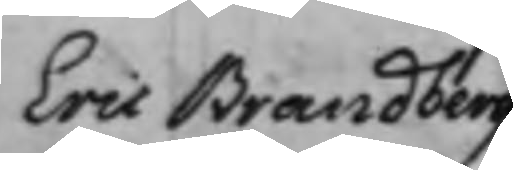Eric Brandberg
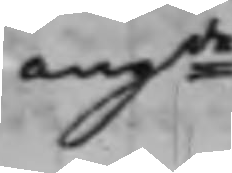angde.
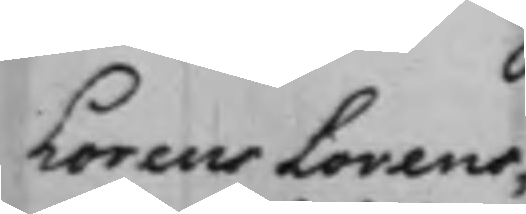Lorens Lorens¬
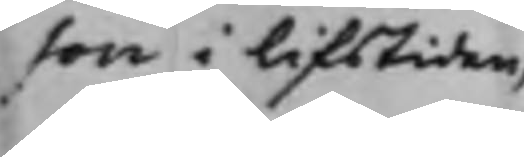son i lifstiden;
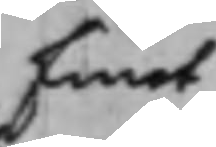Emot
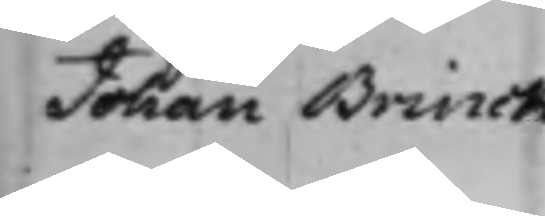Johan Brinck
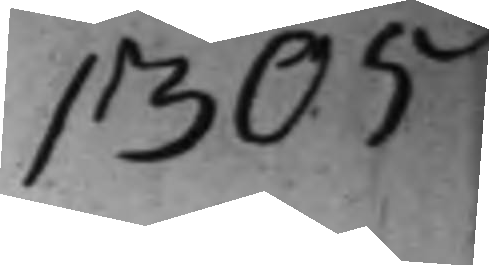1305
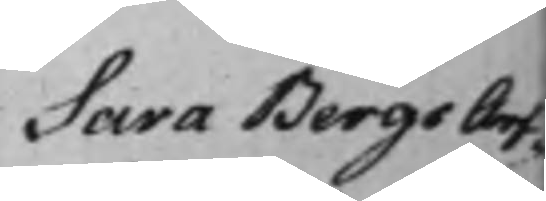Sara Bergs Arf¬
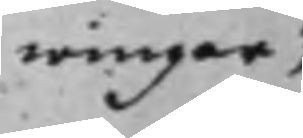wingar,
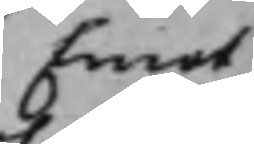Emot
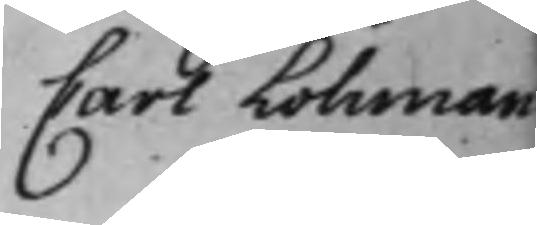Carl Lohman
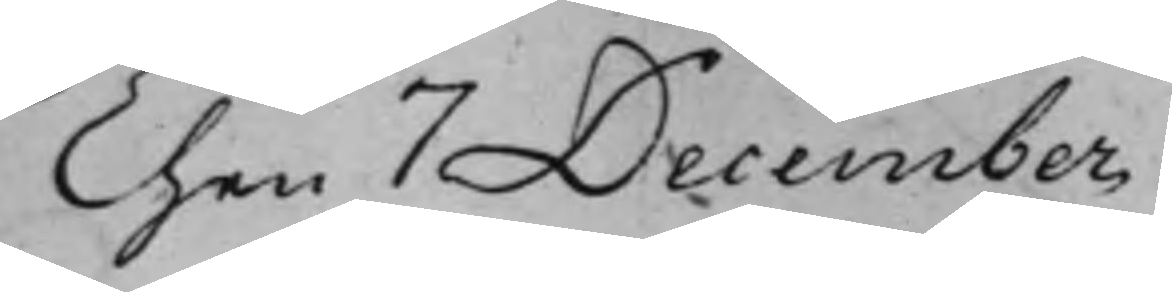Then 7 December
